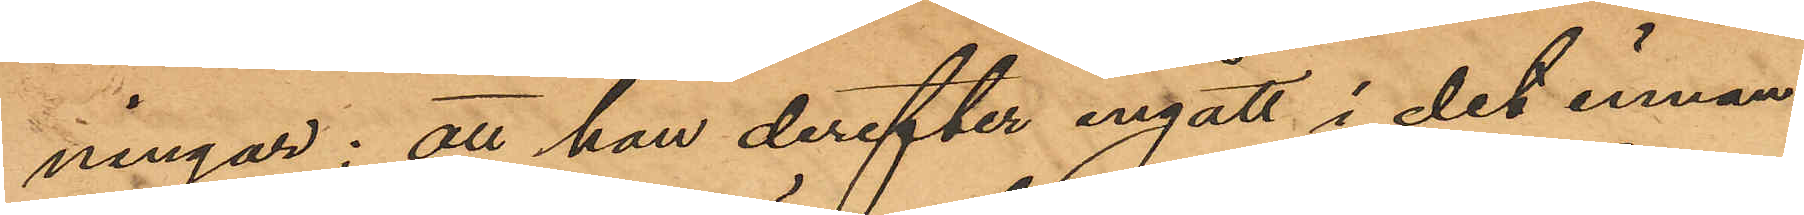ningar; att han derefter ingått i det innan¬
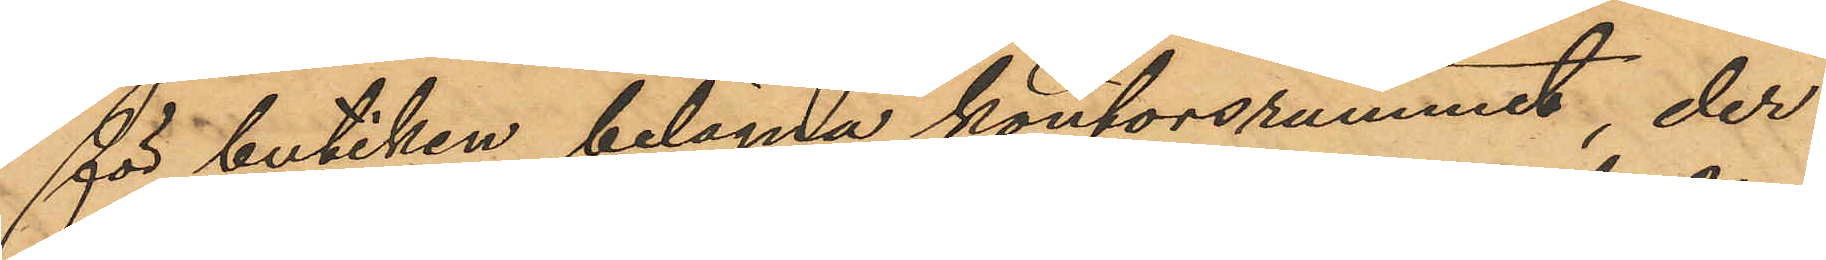för butiken belägna kontorsrummet, der
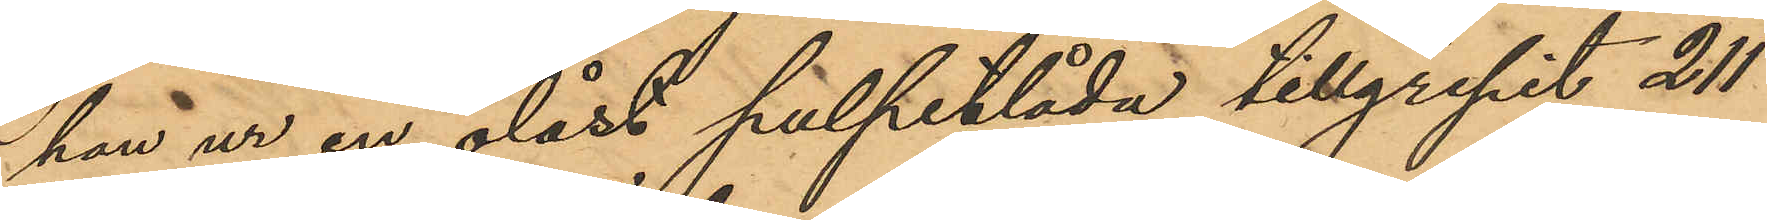han ur en olåst pulpetlåda tillgripit 211
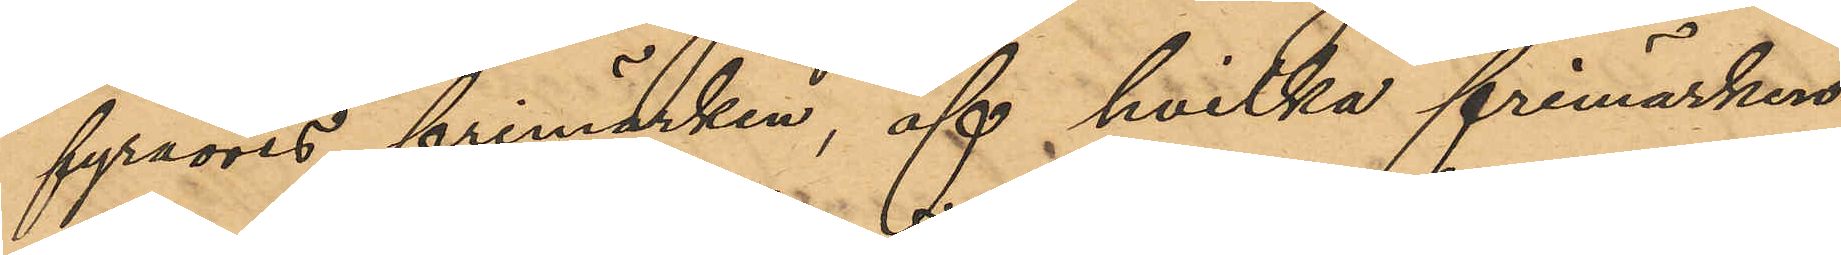fyraöres frimärken, af hvilka frimärken
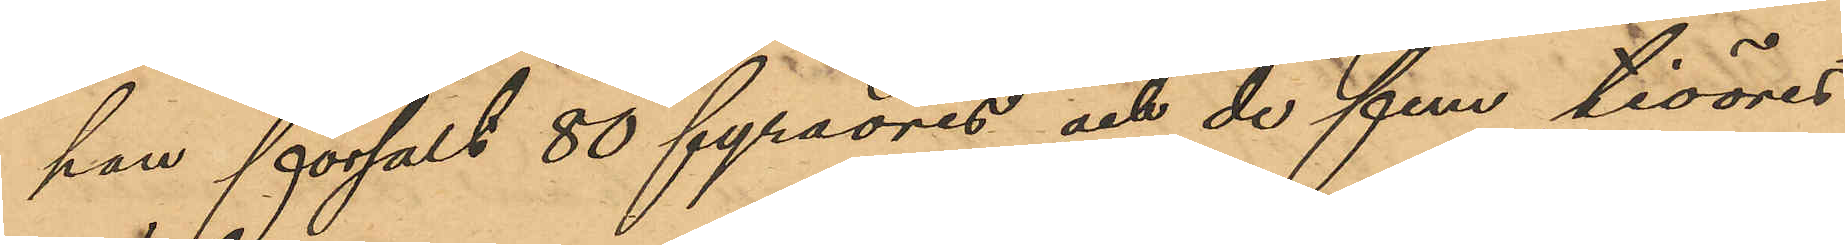han försålt 80 fyraöres och de fem tioöres
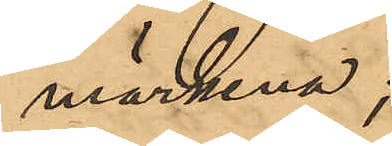märkena;
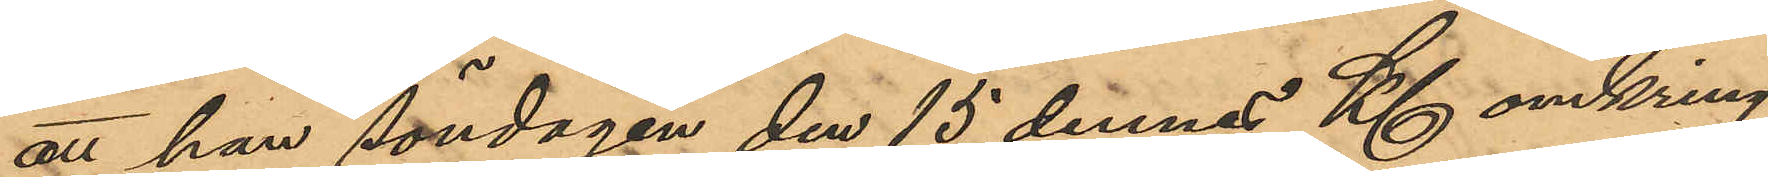att han söndagen den 15 dennes Kl omkring
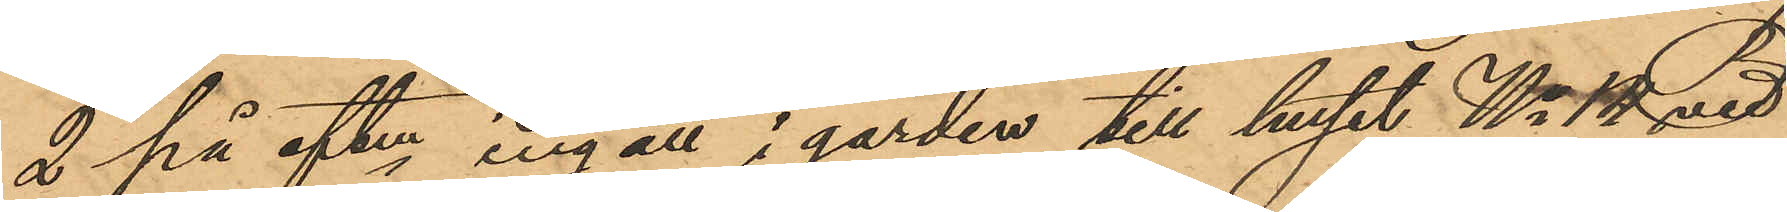2 på eftm ingått i gården till huset No 14 vid
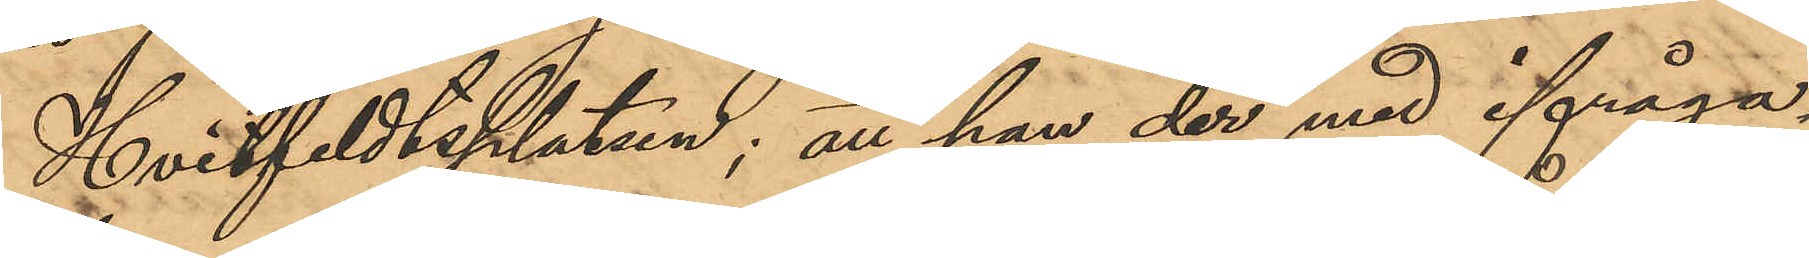Hvitfeldtsplatsen; att han der med ifråga¬
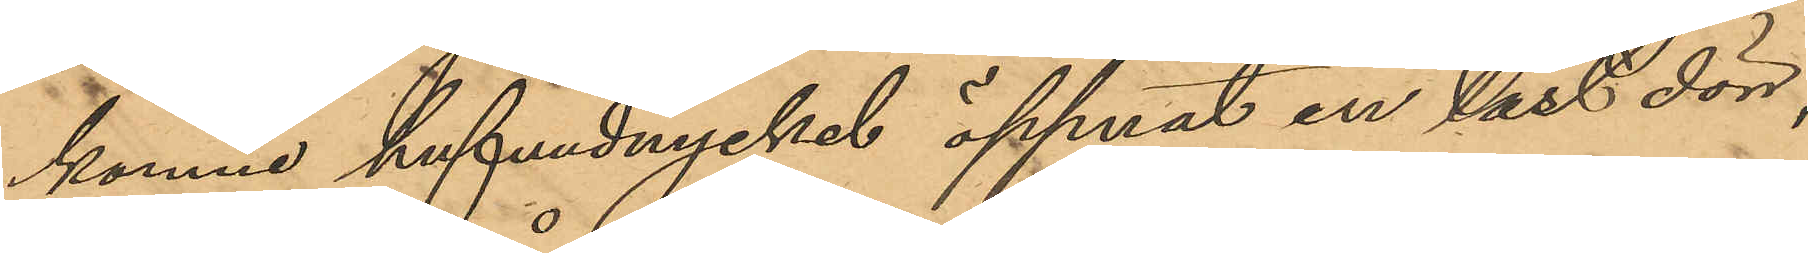komne hufvudnyckel öppnat en låst dörr,
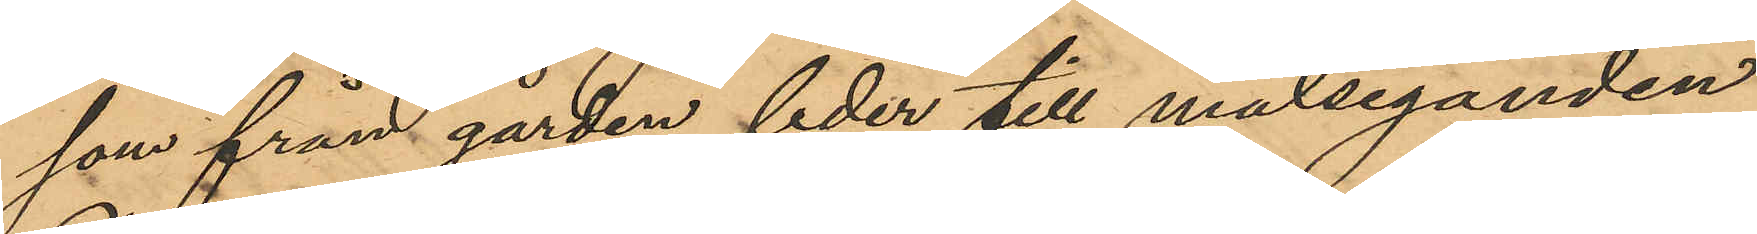som från gården leder till målseganden
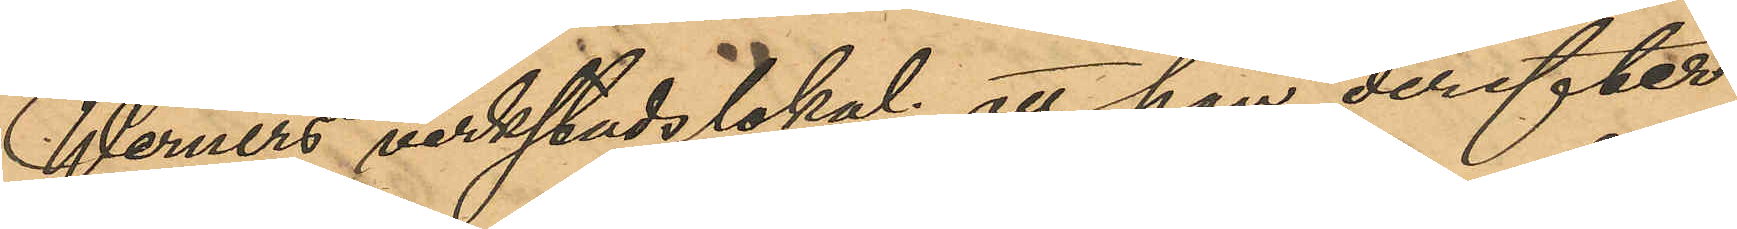Werners verkstadslokal; att han derefter
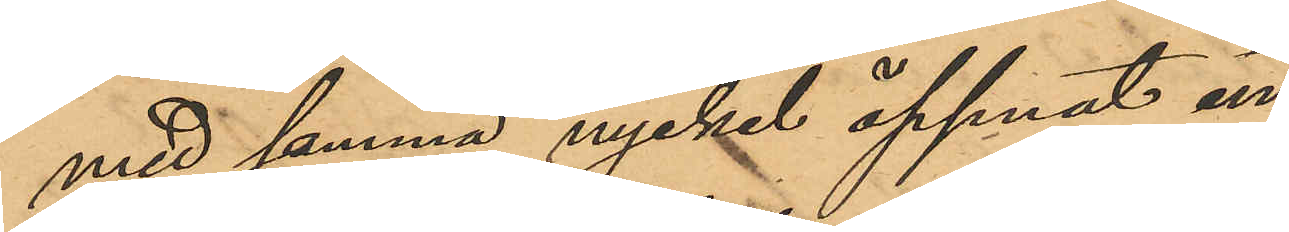med samma nyckel öppnat en
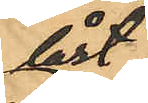låst
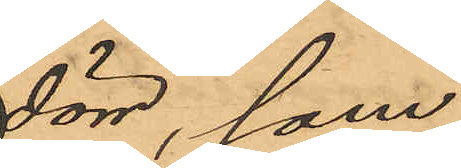dörr, som
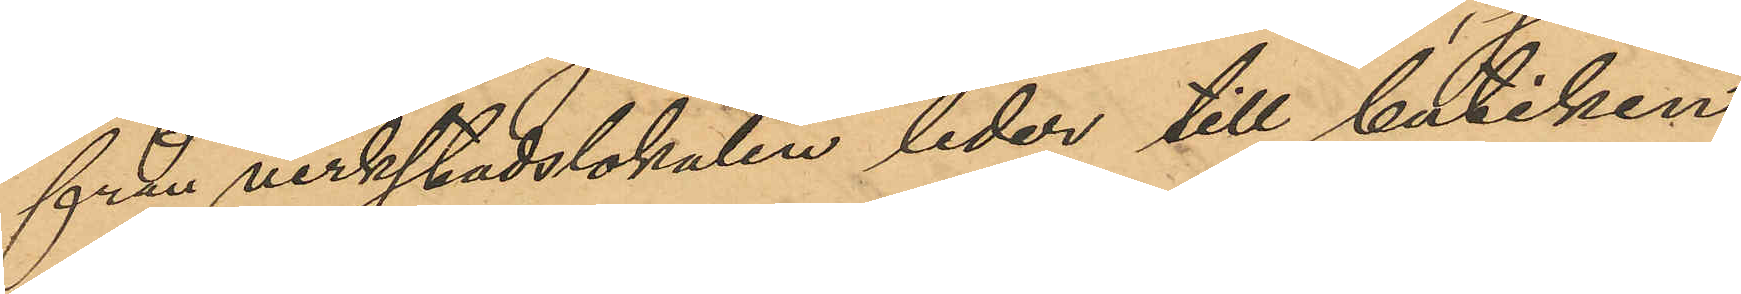från verkstadslokalen leder till butiken,
